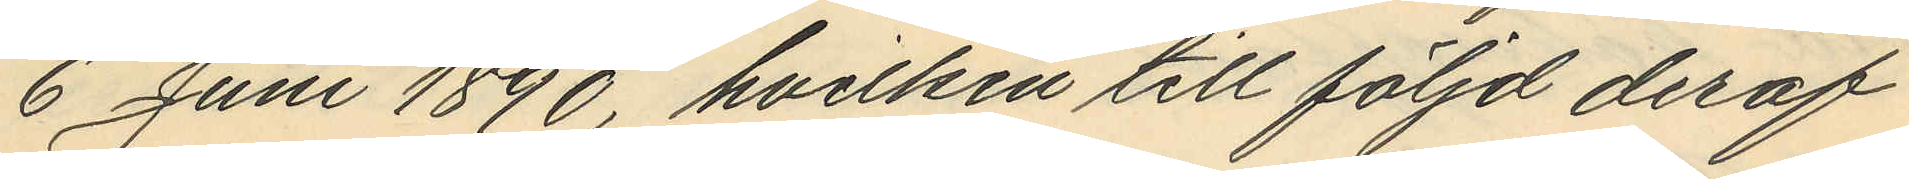6 Juni 1890, hvilken till följd deraf
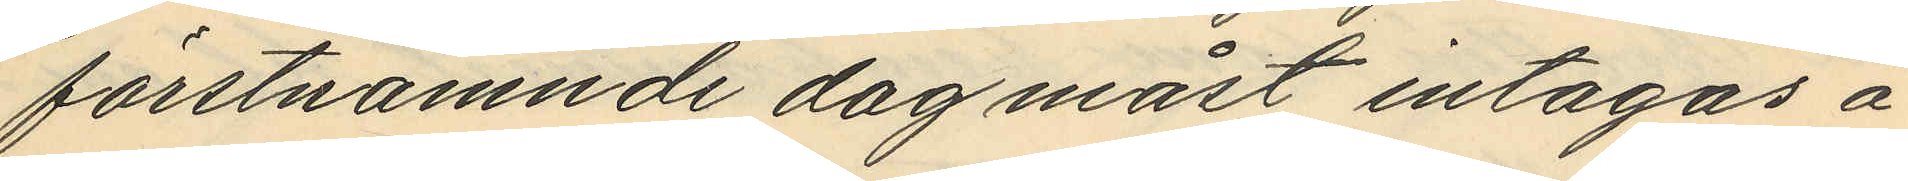förstnämnde dag måst intagas å
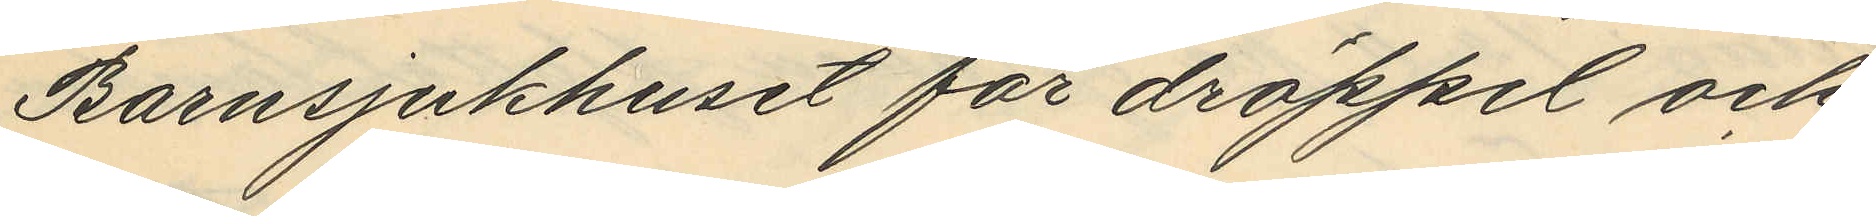Barnsjukhuset för dröppel och
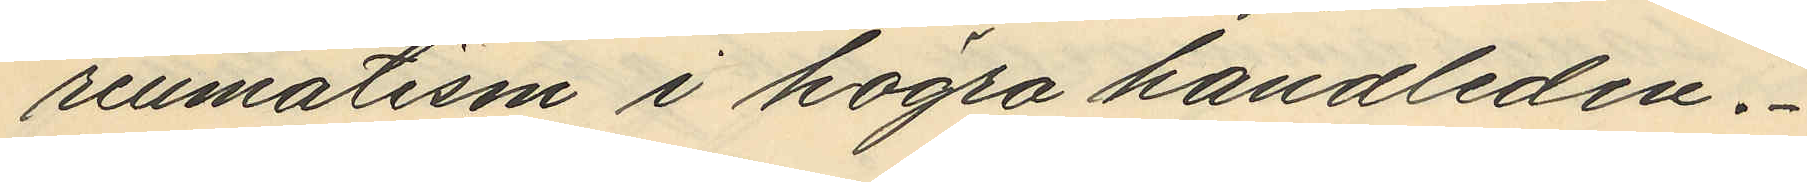reumatisn i högra handleden.
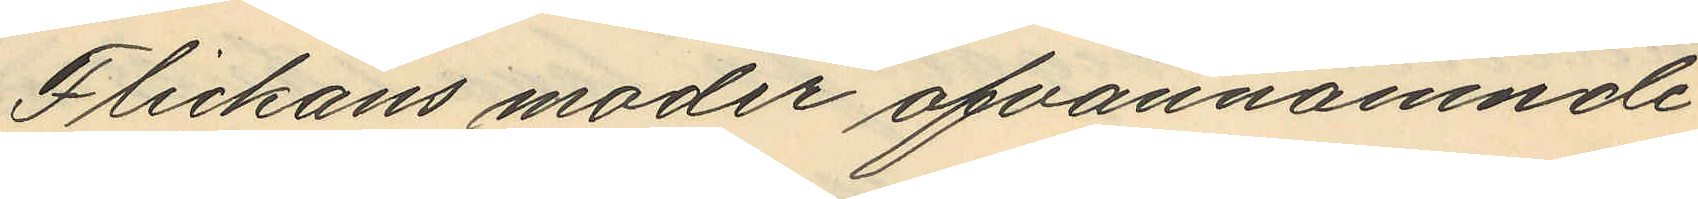Flickans moder ofvannämnde
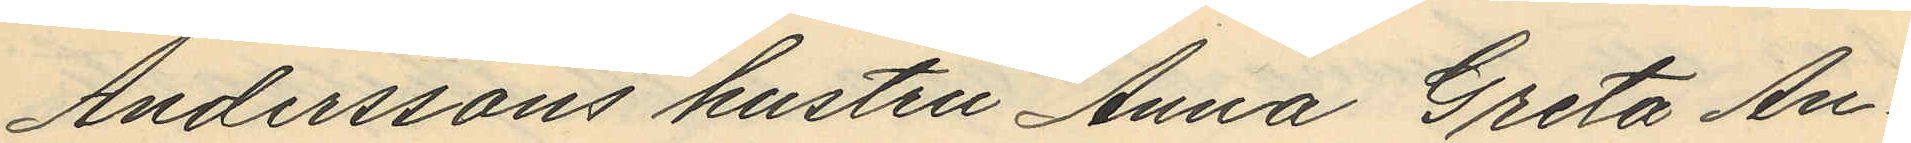Anderssons hustru Anna Greta An¬
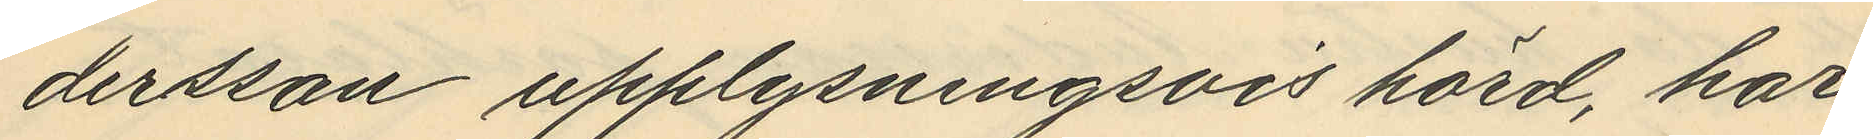dersson upplysningsvis hörd, har
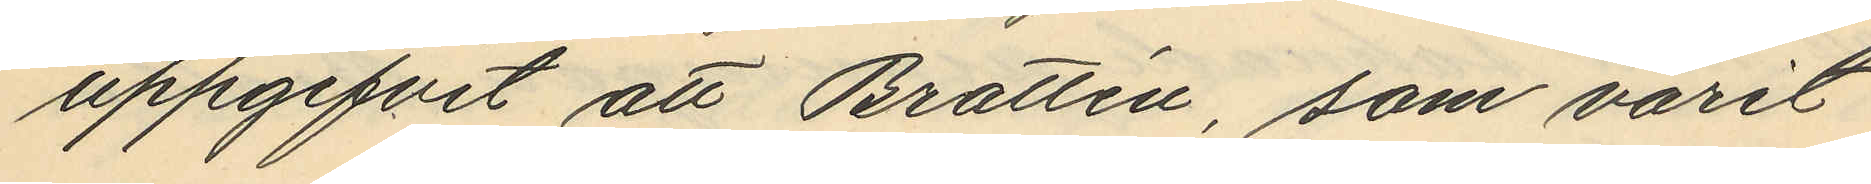uppgifvit att Brattén, som varit
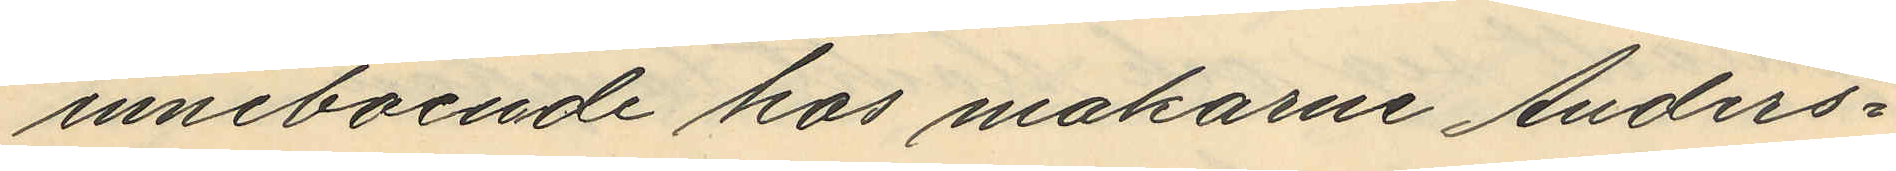inneboende hos makarne Anders¬
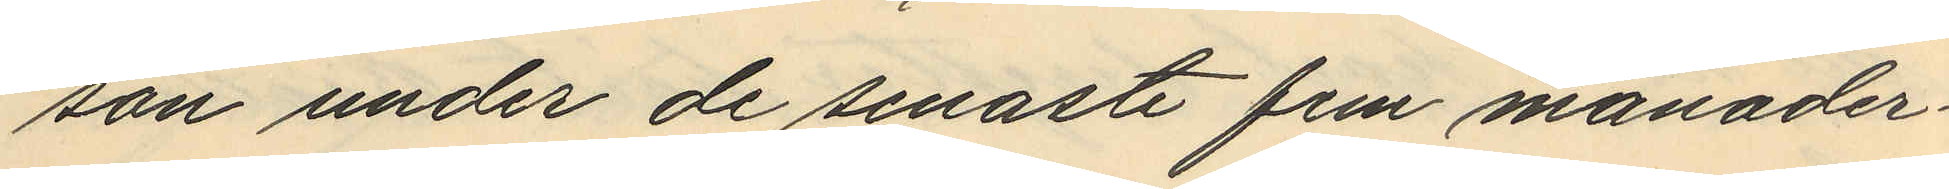son under de senaste fem månader
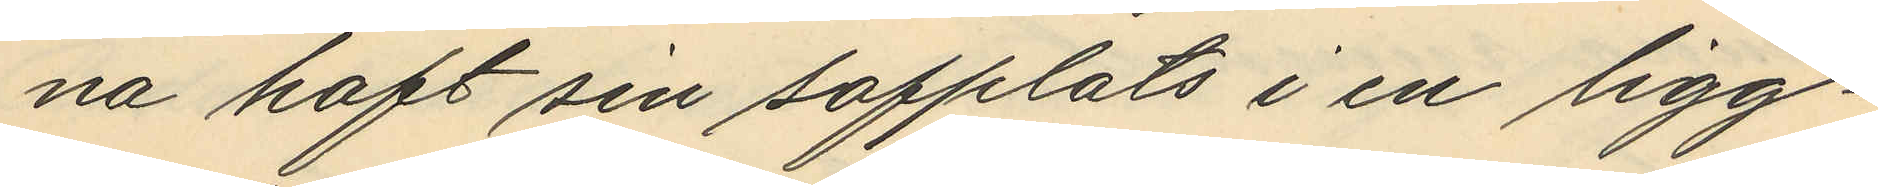na haft sin sovplats i en ligg¬
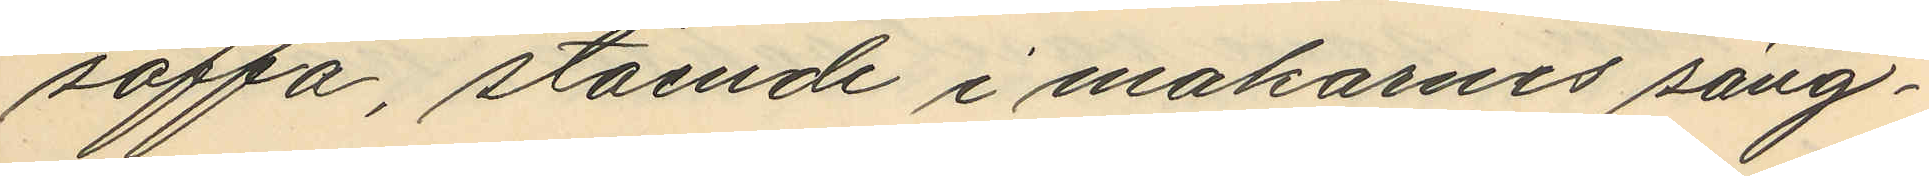soffa, stående i makarnes säng¬
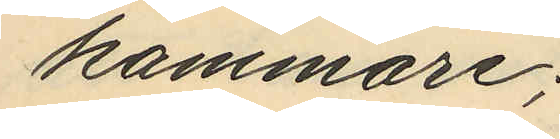kammare;
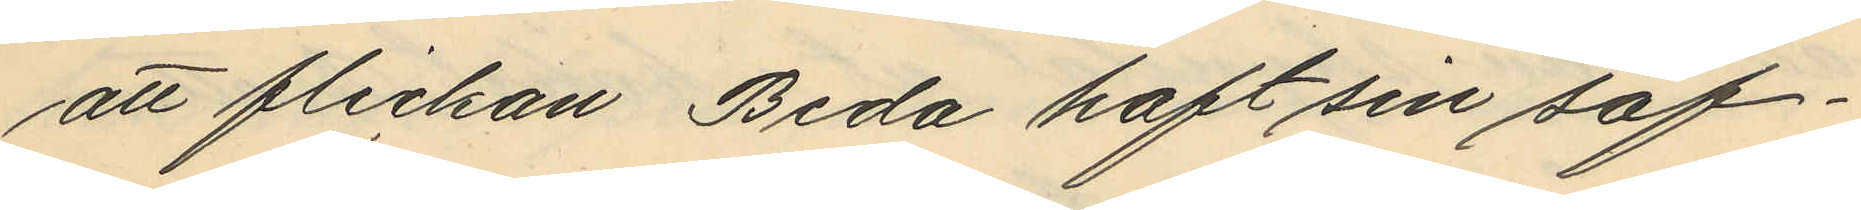att flickan Beda haft sin sof¬
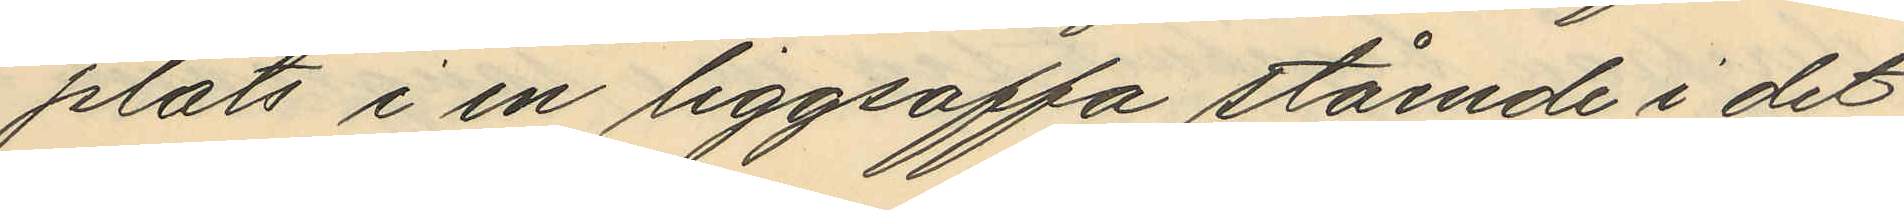plats i en liggsoffa stående i det
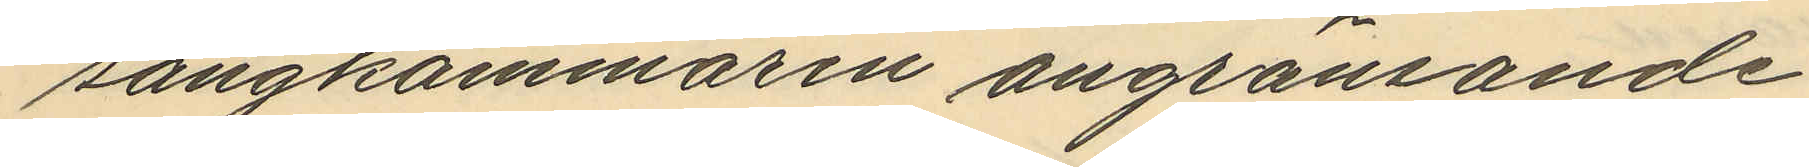sängkammaren angränsande
